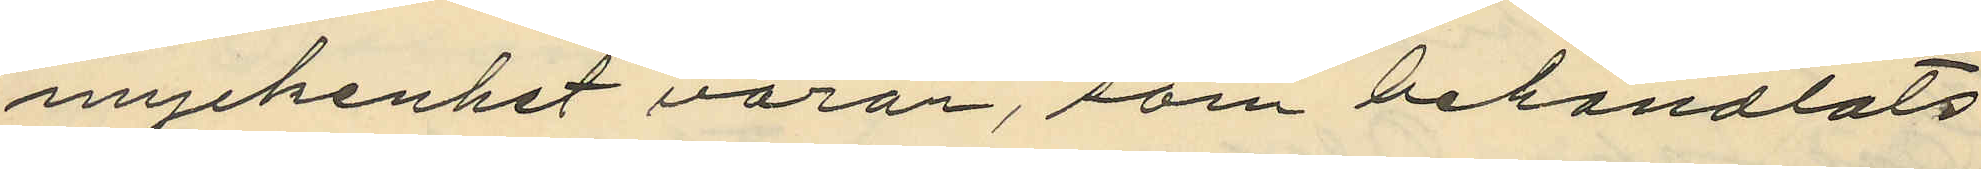myckenhet varor, som behandlats
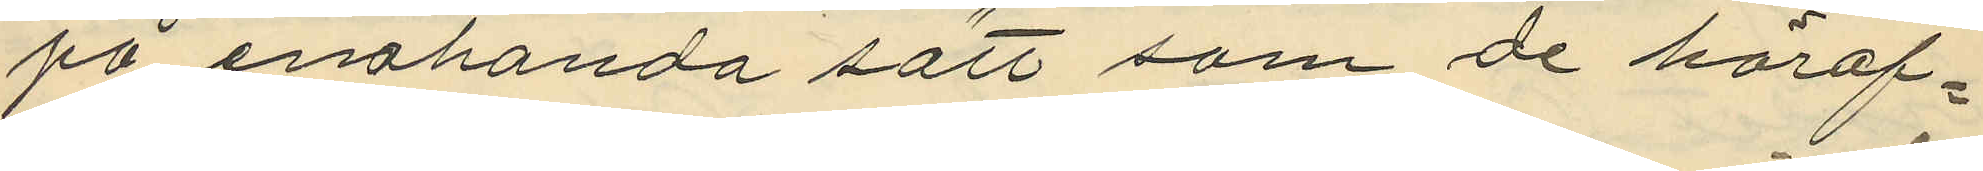på enahanda sätt som de häraf¬
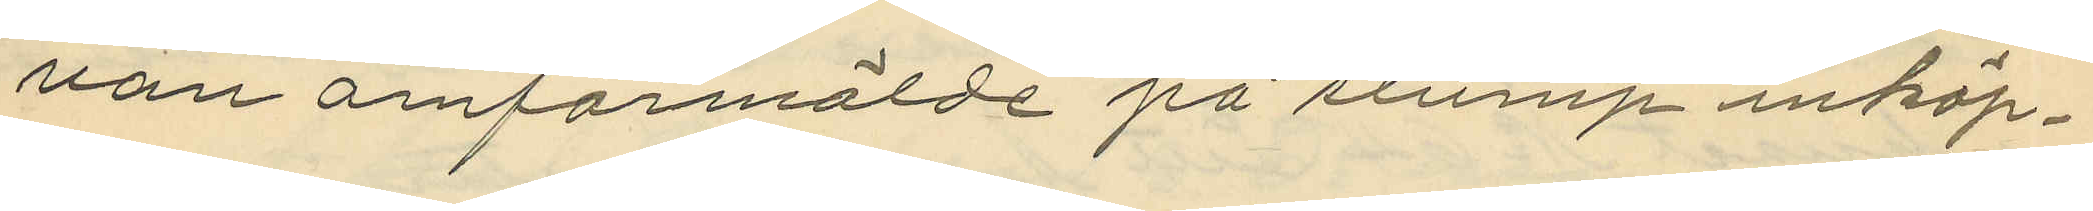van omförmälde på slump inköp¬
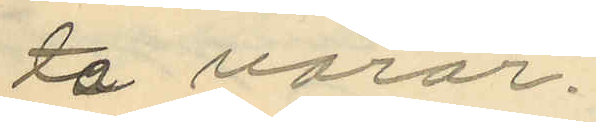ta varor.
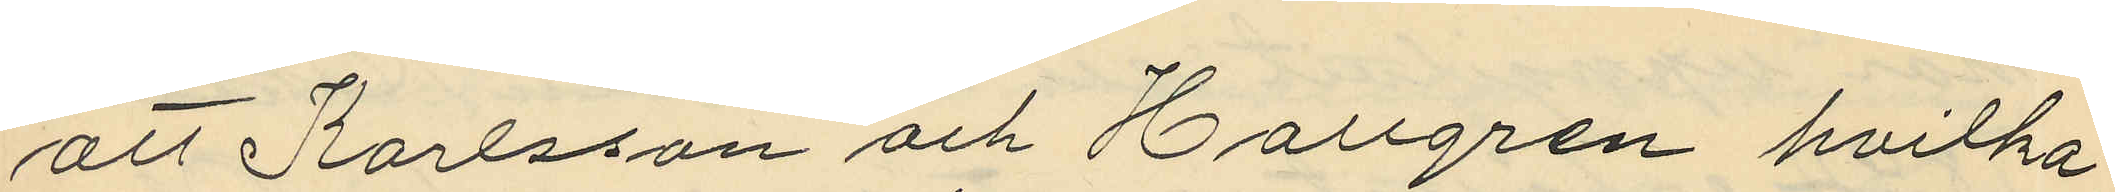att Karlsson och Hallgren hvilka
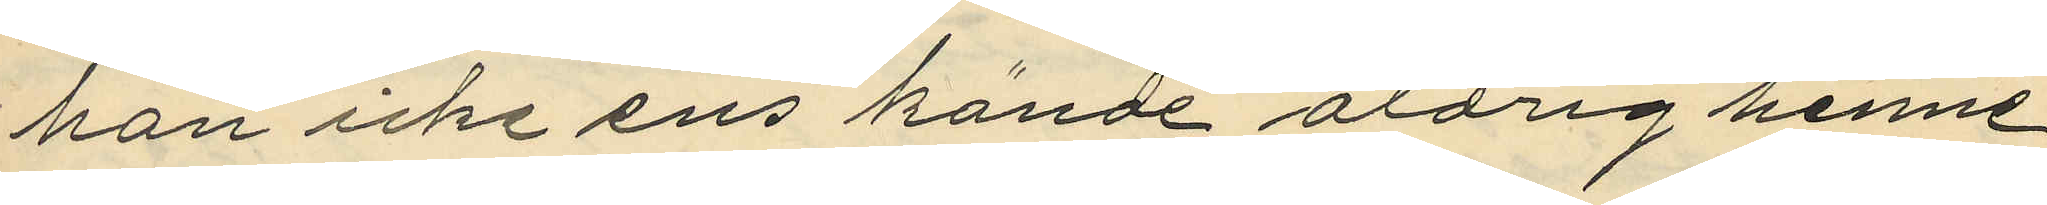hon icke ens kände aldrig henne
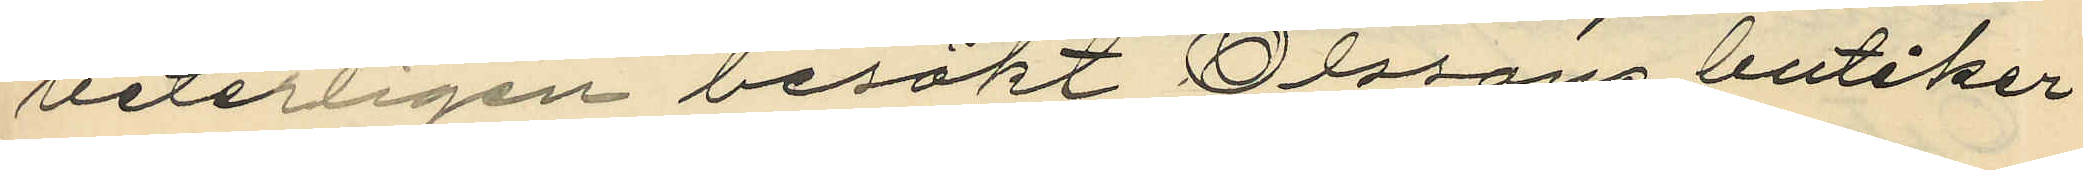veterligen besökt Olssons butiker
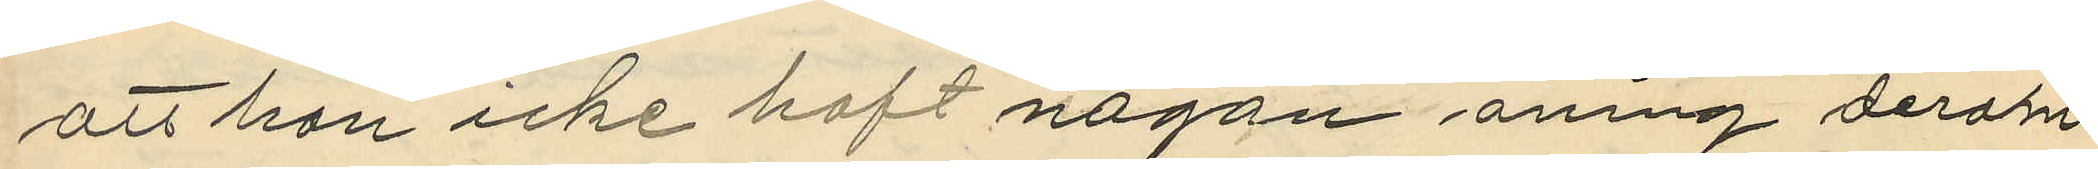att hon icke haft någon aning derom
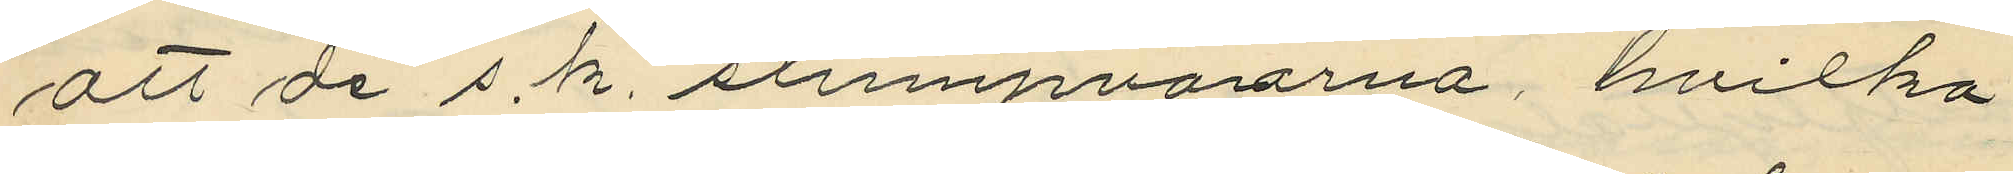att de s.k. slumpvarorna, hvilka
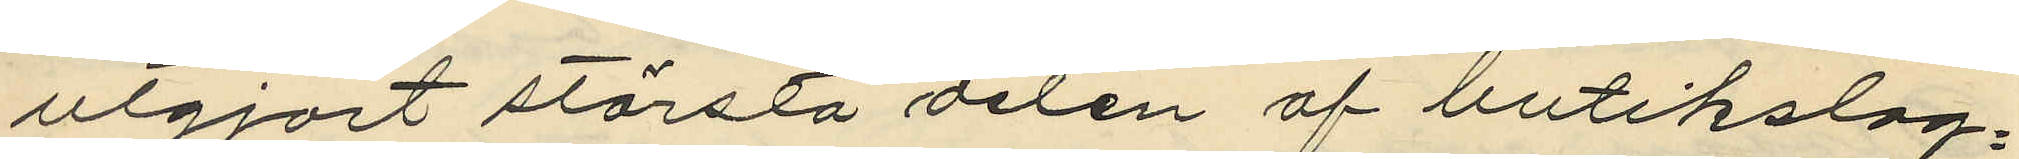utgjort största delen af butikslag¬
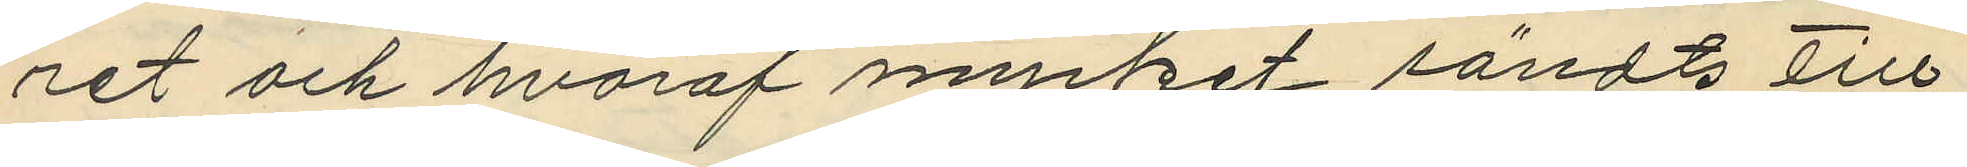ret och hvaraf mycket sändts till
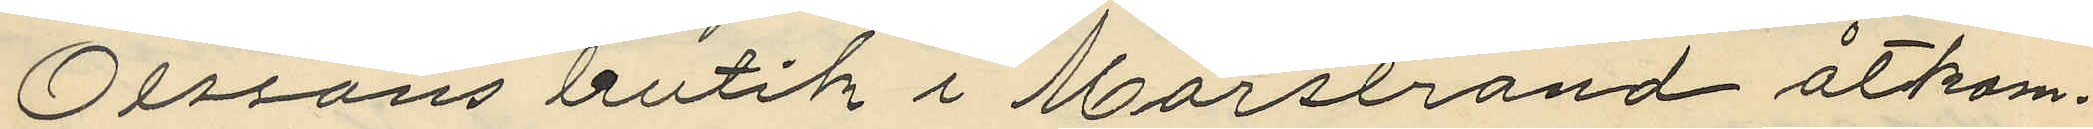Olssons butik i Marstrand åtkom¬
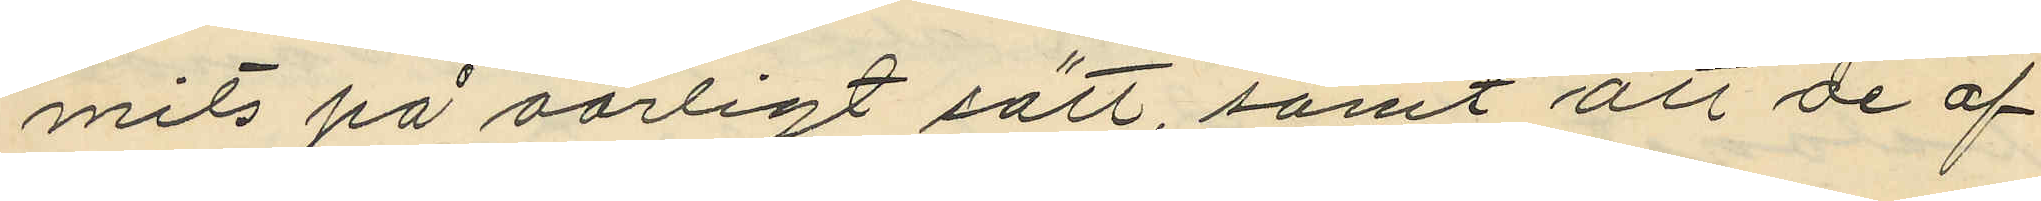mits på oärligt sätt, samt att de af
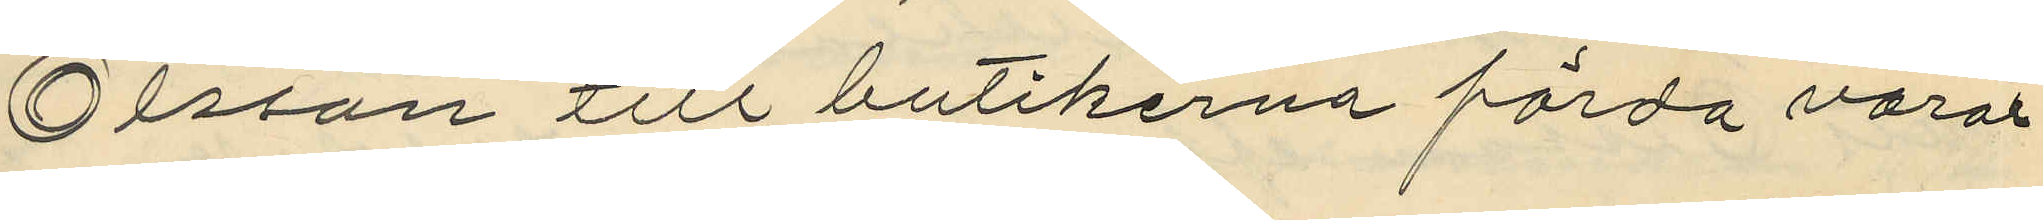Olsson till butikerna förda varor¬
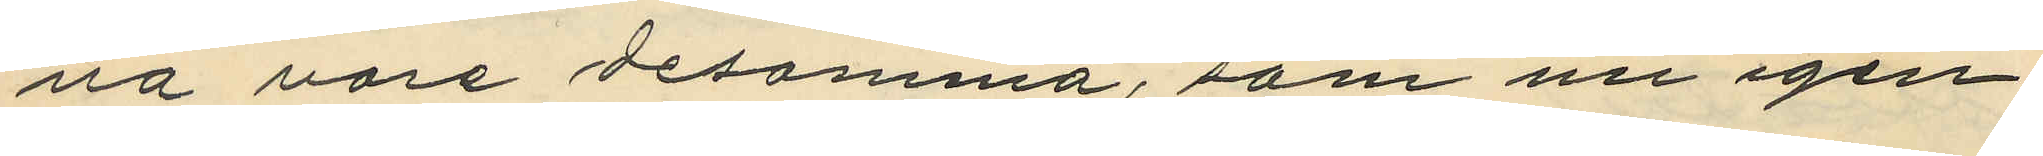na vore desamma, som nu igen¬
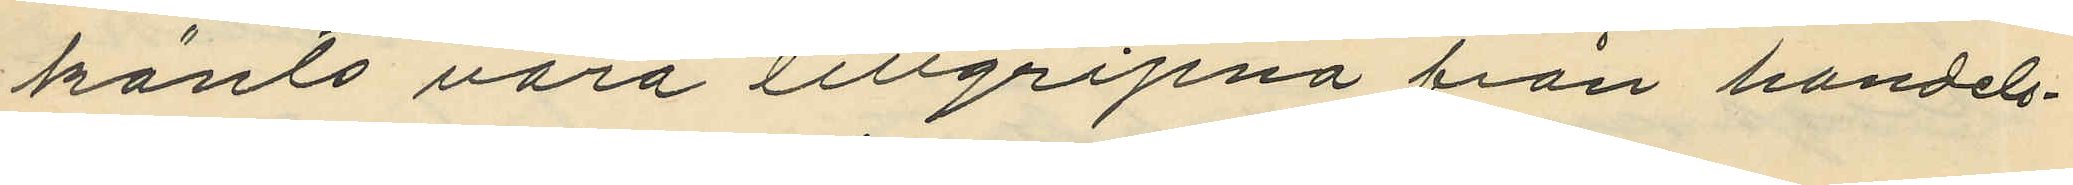känts vara tillgripna från handels¬
